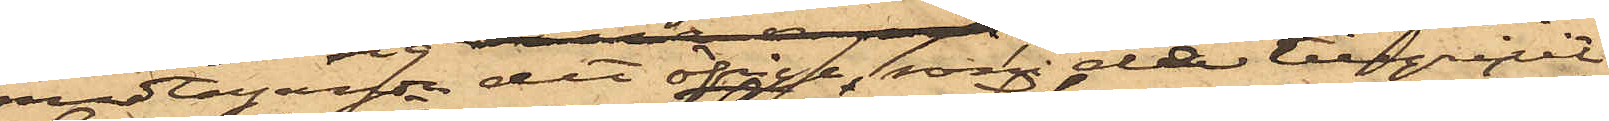medtagande det öfrige, som de tillgripit
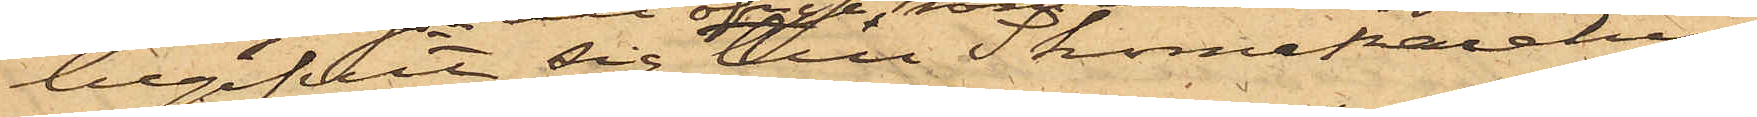begifvit sig till Skomakarehu¬
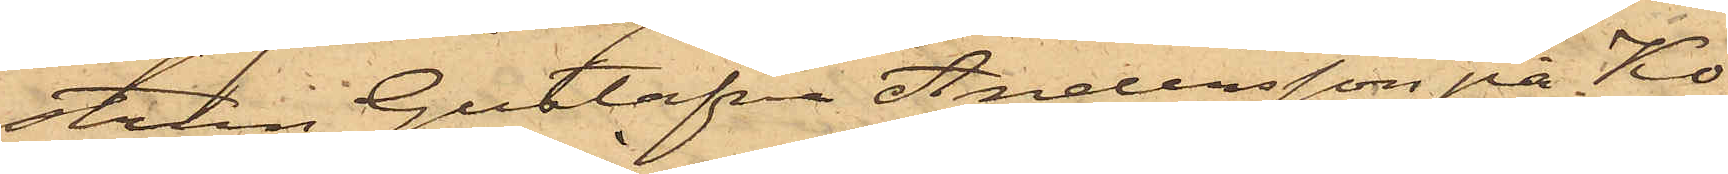strun Gustafva Andersson på Ko¬
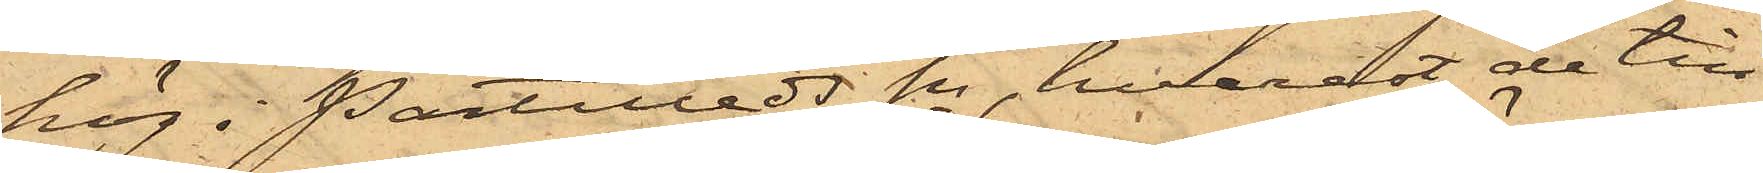hög i Partilleds Sn, hvarest de till¬
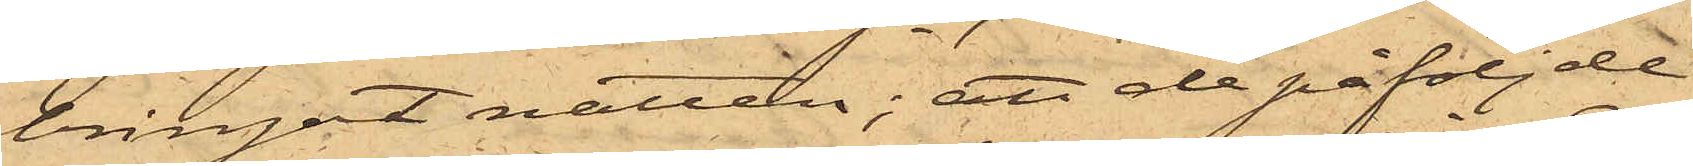bringat natten; att de påföljde
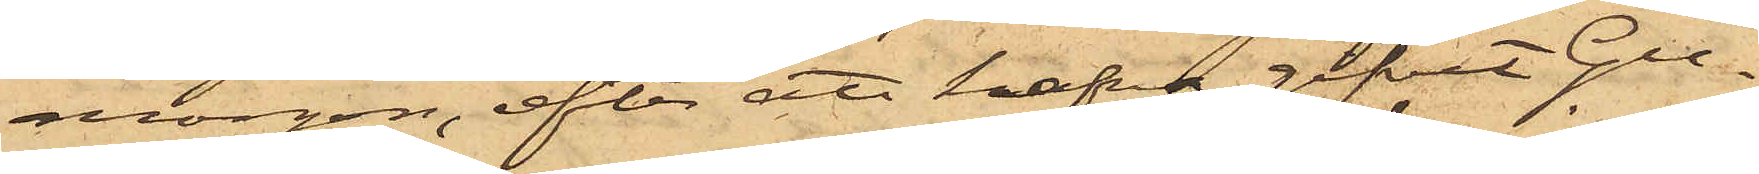morgon, efter att hafva gifvit Gu¬
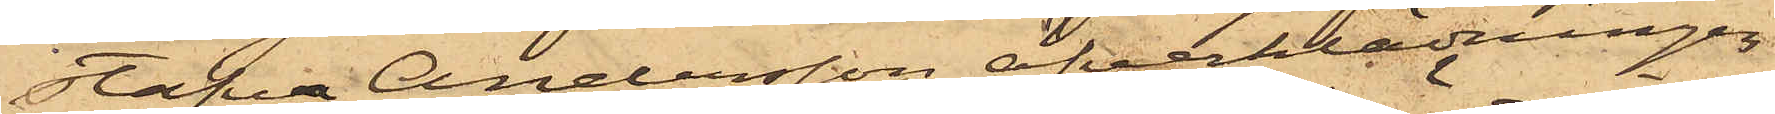stafva Andersson öfverklädningen
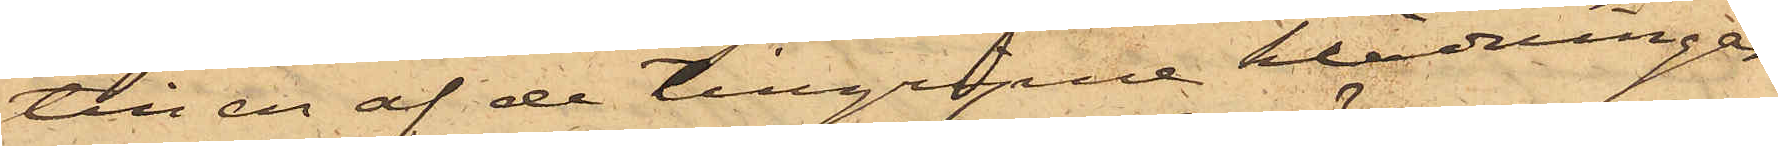till en af de tillgripne klädningar¬
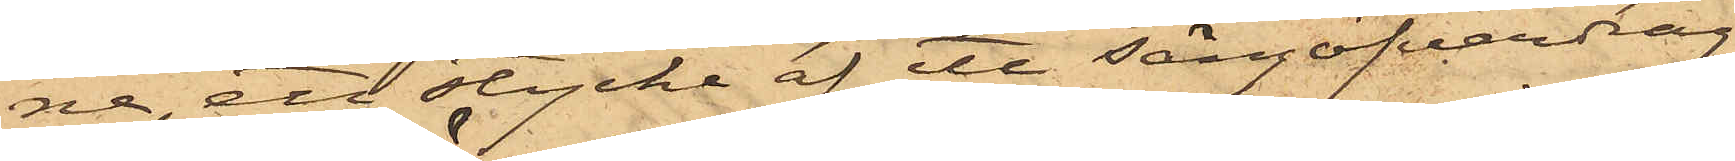ne, ett stycke af ett sängöfverdrag
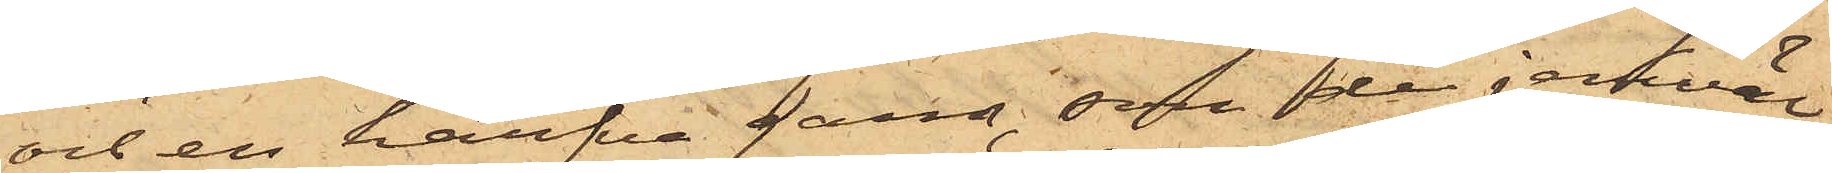och en härfva garn, som de jemväl
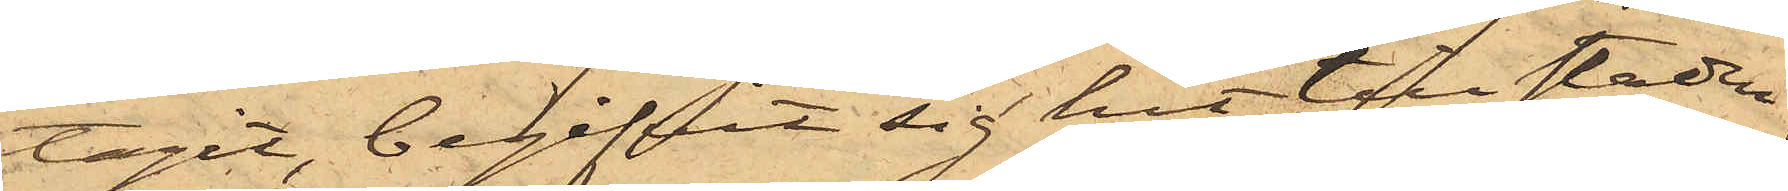tagit, begifvit sig hit till staden,
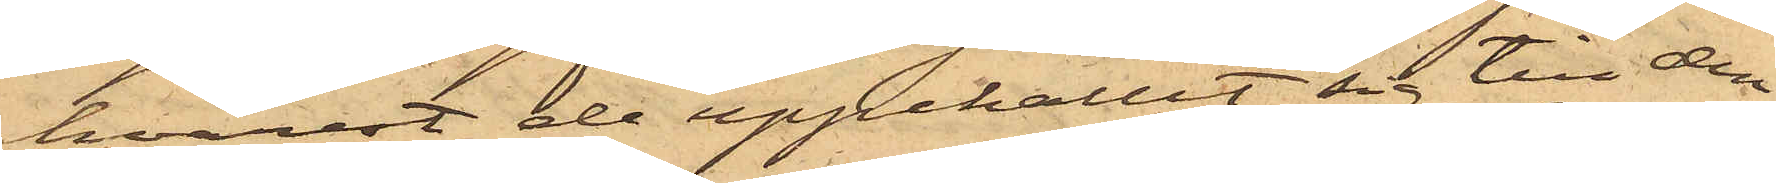hvarest de uppehållit sig till den
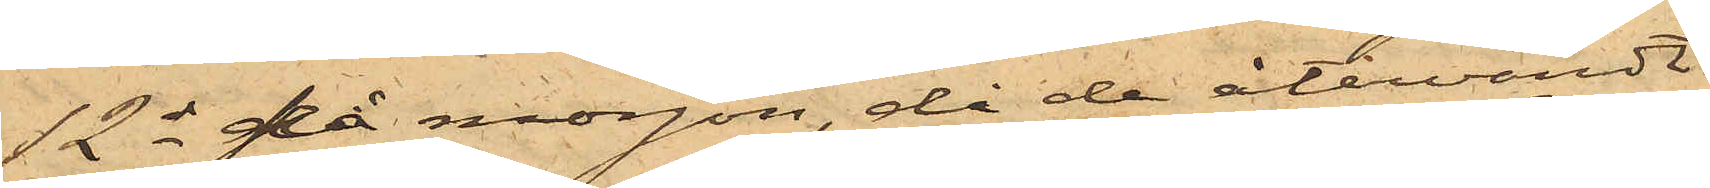12 ds på morgon, då de återvändt
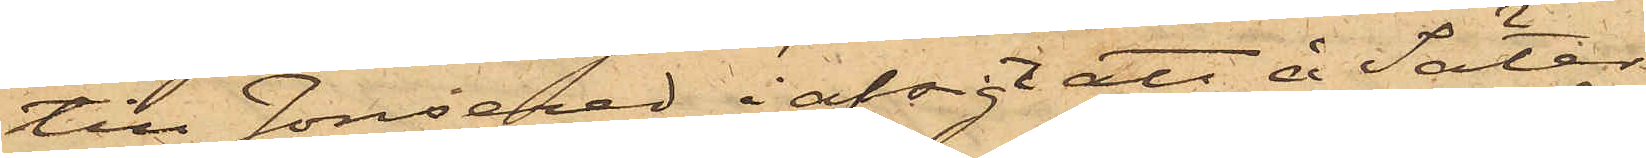till Jonsered i afsigt att å Säter
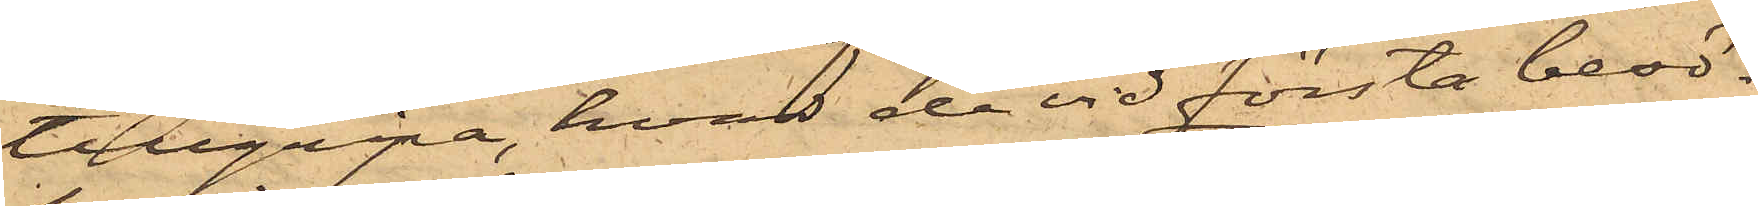tillgripa, hvad de vid första besö¬
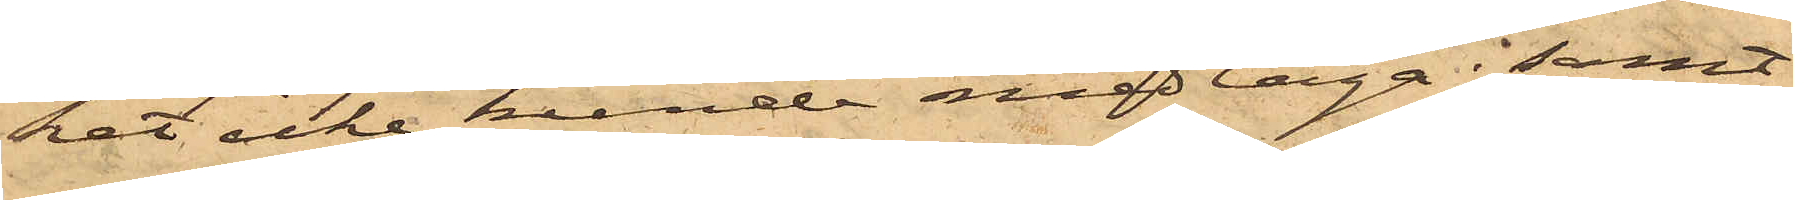ket icke kunde medtaga; samt
